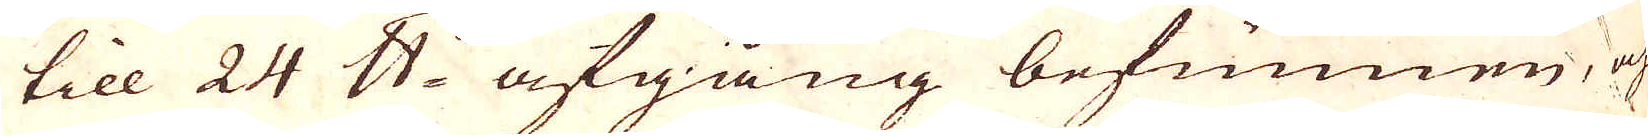till 24 skålpund afgång befunnen, och
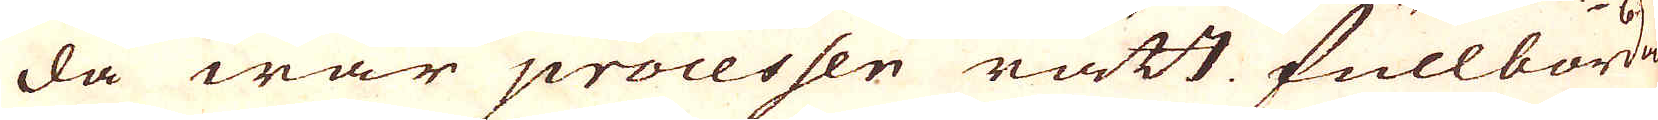da war processen rätt fullbordad.
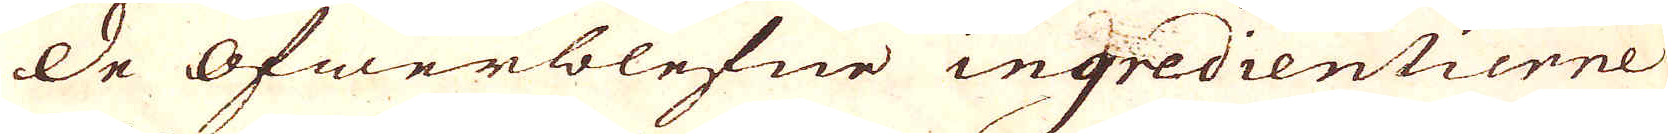De Öfwerblefne ingredientierne
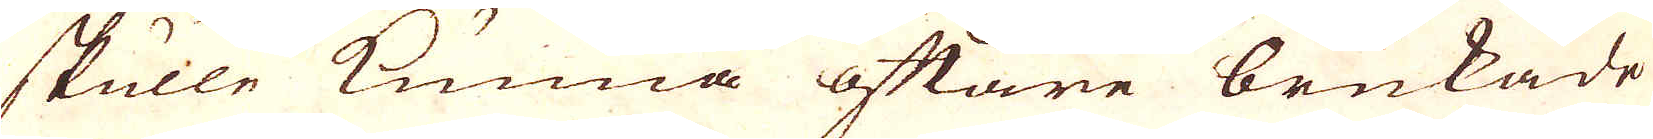skulle kunna oftare brukade
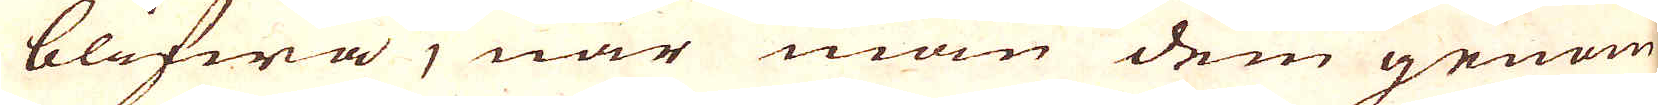blifwa, när man dem genom
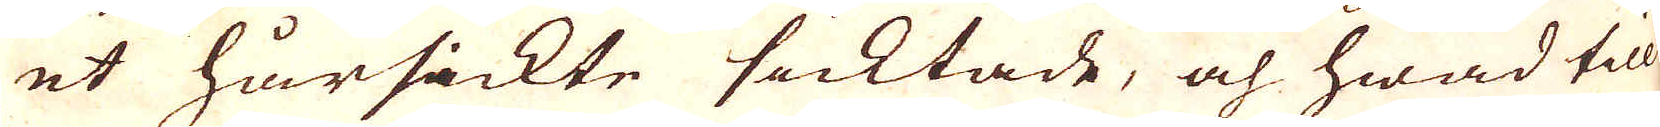et hårsickte sicktade, och hwad till
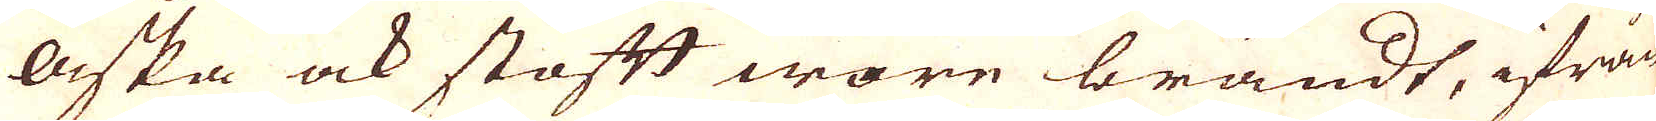Aska ock stoftt wore brändt, ifrån
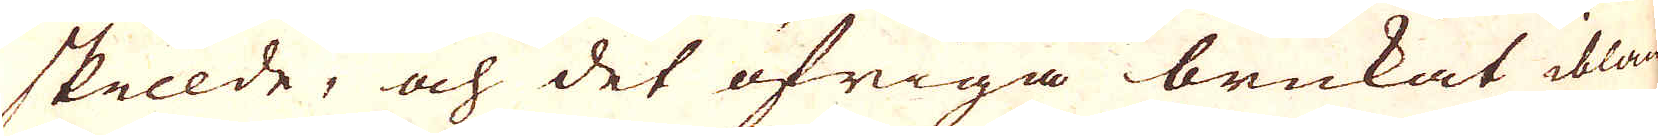skilde, och det öfriga brukat ibland
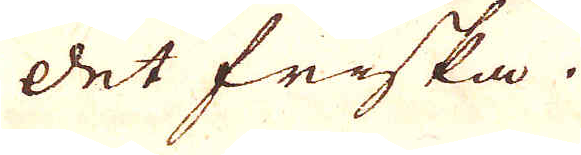det friska.
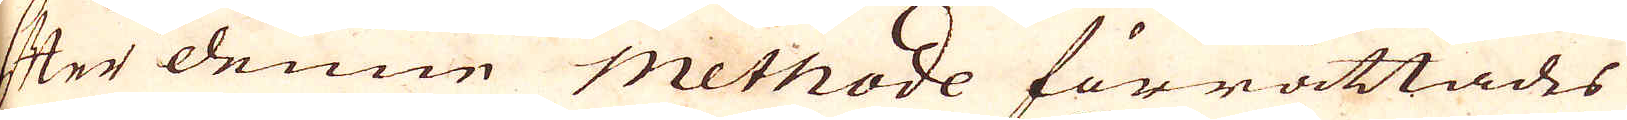Efter denne Methode förrättades
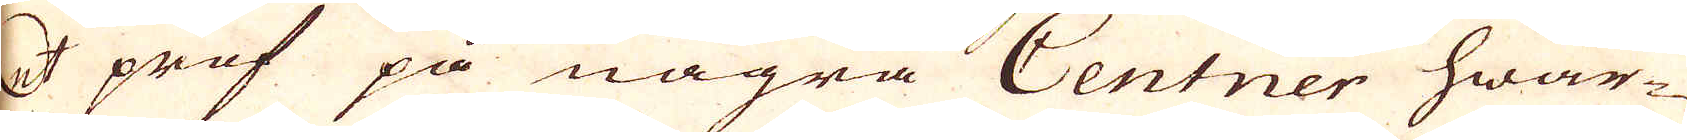et prof på några Centner hwar-
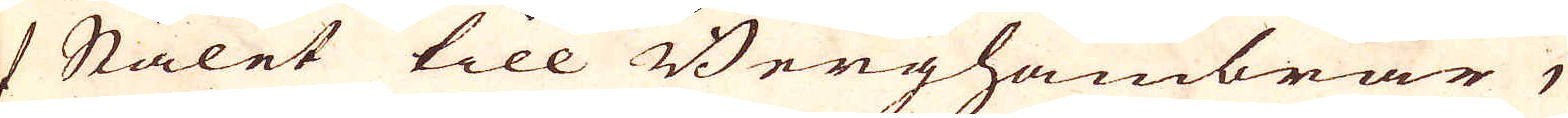af Stålet till Berghambrar, 
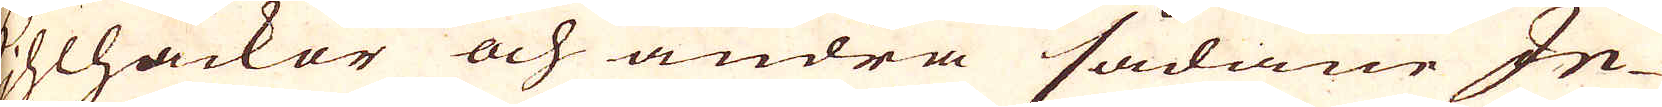kihlhackor och andra sådane In-
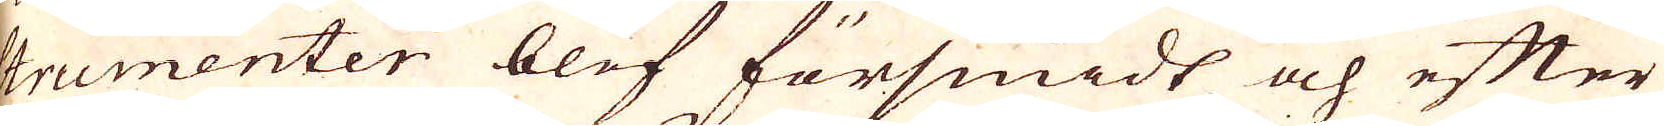trumenter blef försmidt och efter
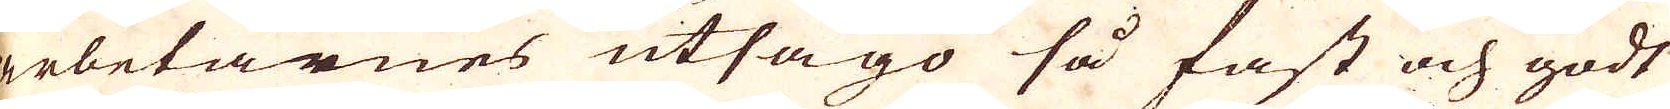arbetarnes utsago så fast och godt
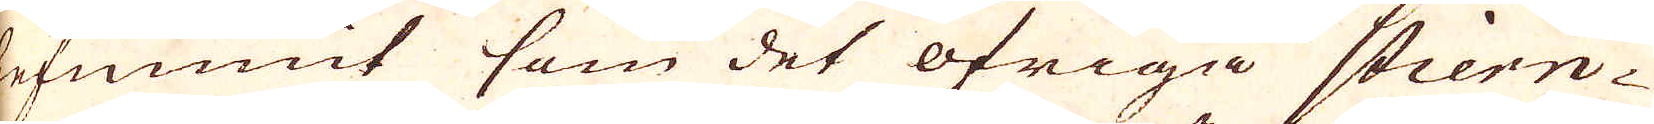befunnit som det öfriga stiern-
